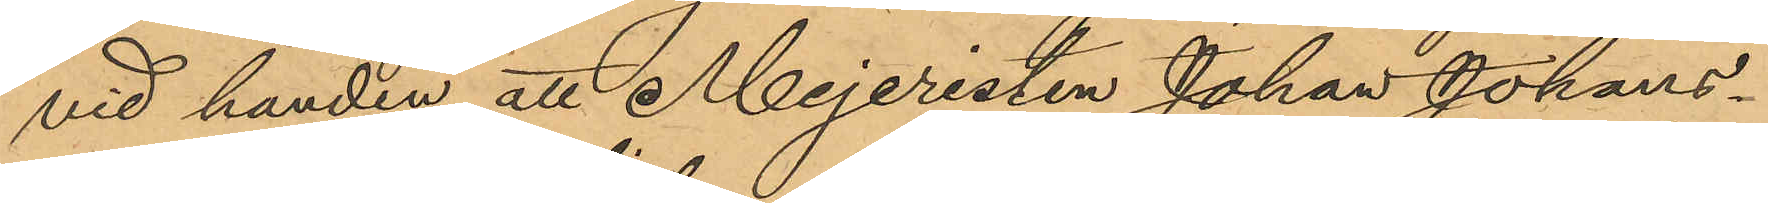vid handen att Mejeristen Johan Johans¬
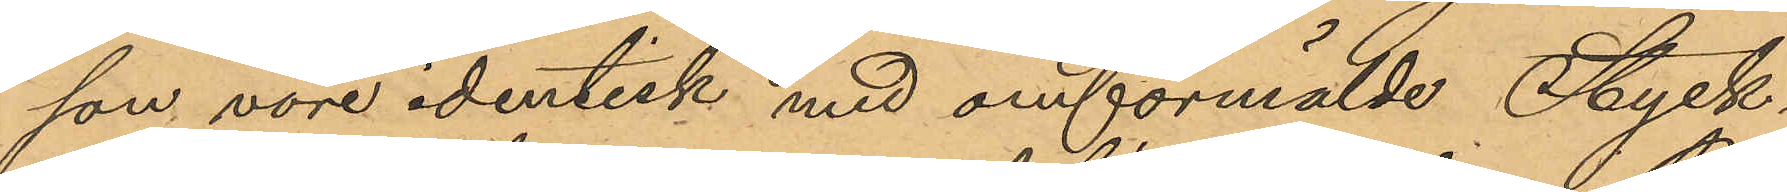son vore identisk med omförmälde Styck-
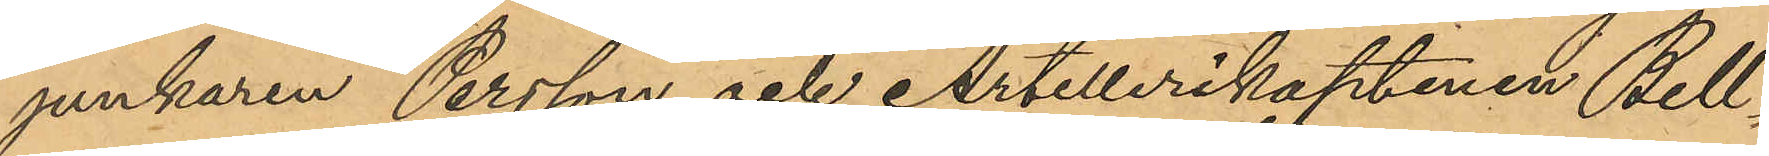junkaren Persson och Artillerikaptenen Bell¬
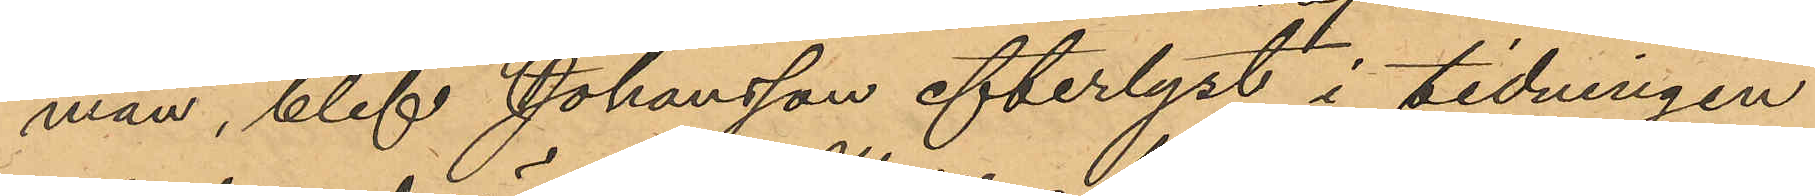man, blef Johansson efterlyst i tidningen
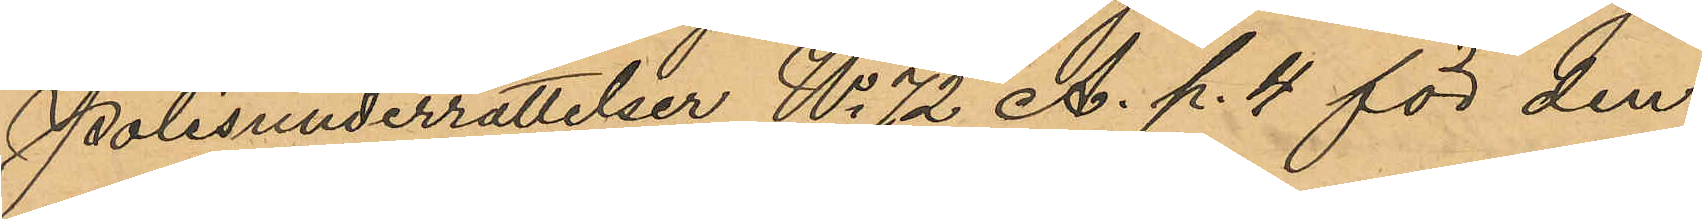Polisunderrättelser No 72 A. p. 4 för den
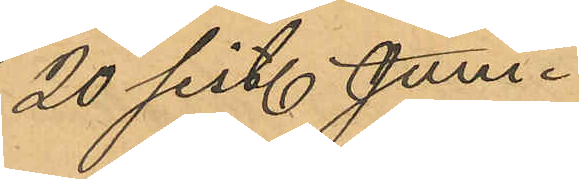20 sist. Juni
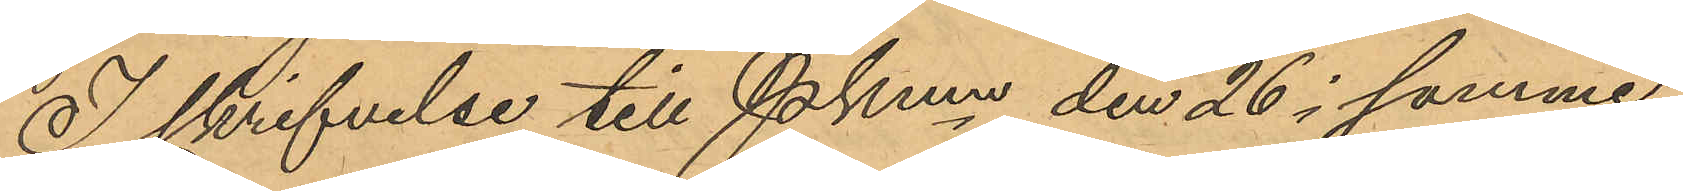I skrifvelse till Pkmn den 26 i samme
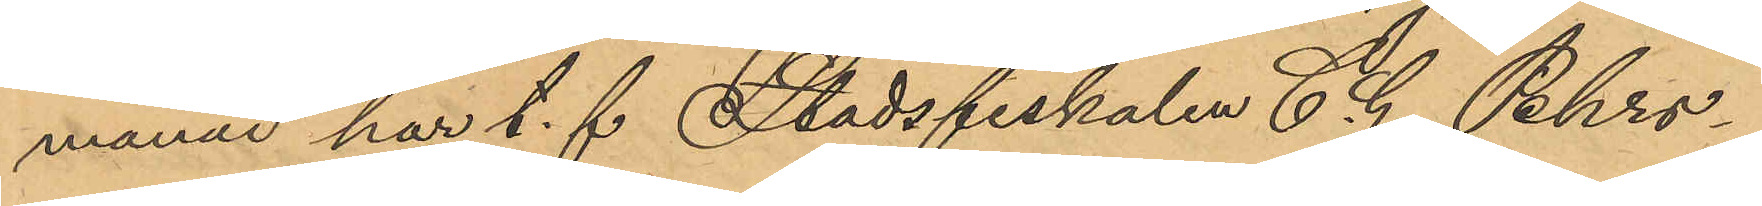månad har t. f. Stadsfiskalen C. G. Pehrs¬
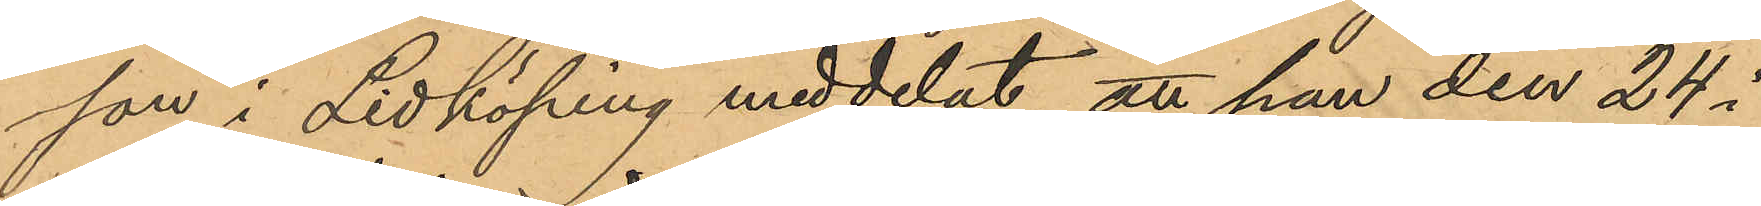son i Lidköping meddelat att han den 24 i
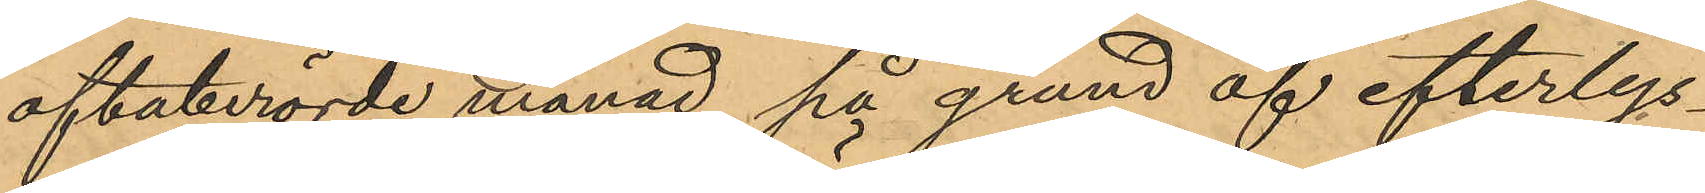oftaberörde månad på grund af efterlys¬
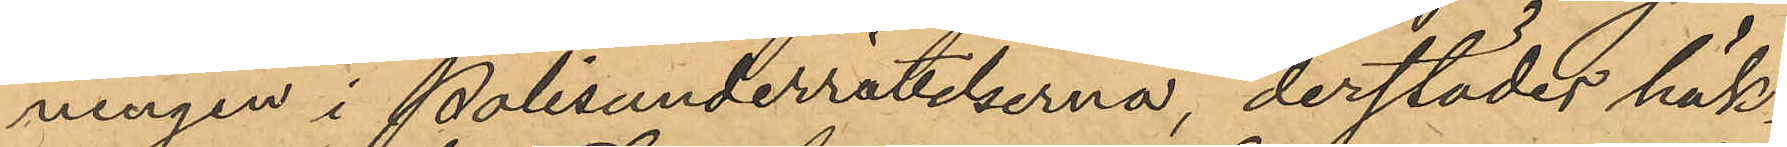ningen i Polisunderrätelserna, derstädes häk¬
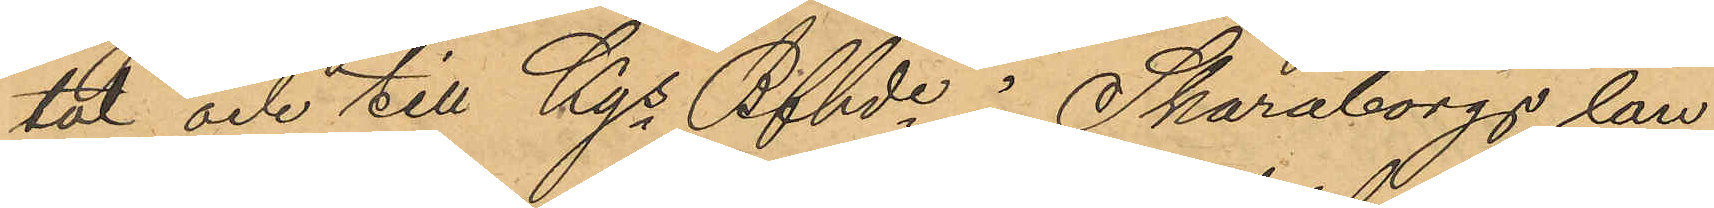tat och till Kgs Bfhde i Skaraborgs län
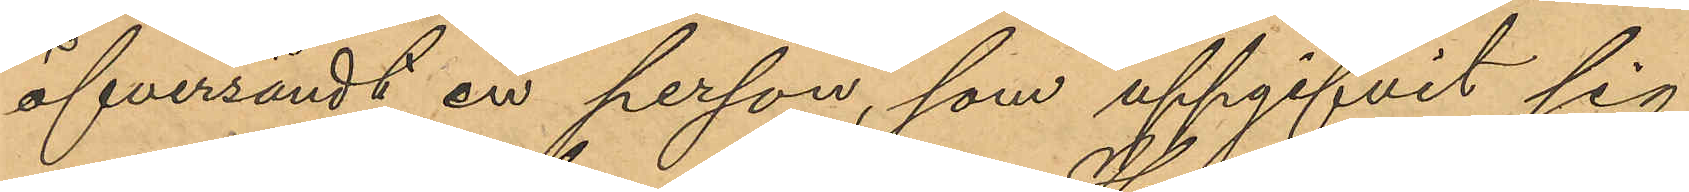öfversändt en person, som uppgifvit sig
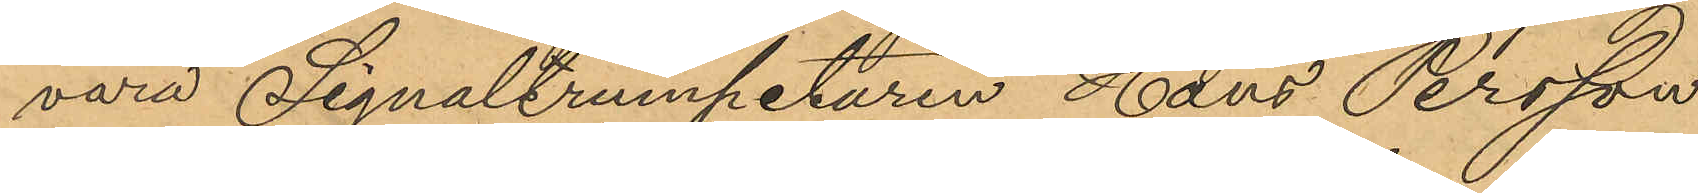vara Signaltrumpetaren Hans Persson
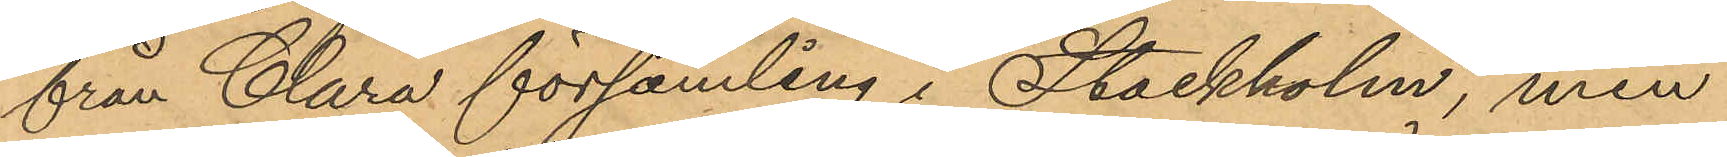från Clara församling i Stockholm, men
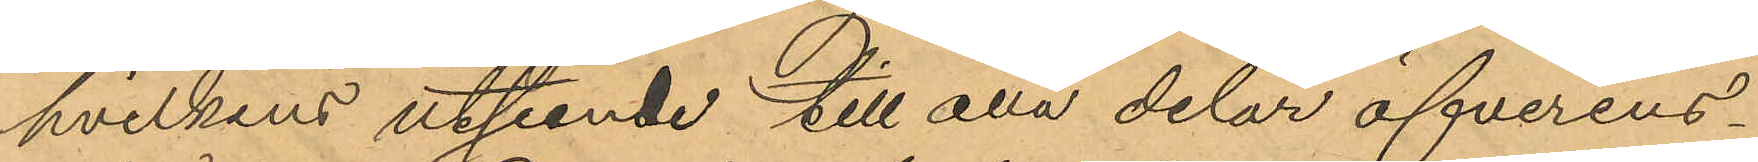hvilkens utseende till alla delar öfverens¬
